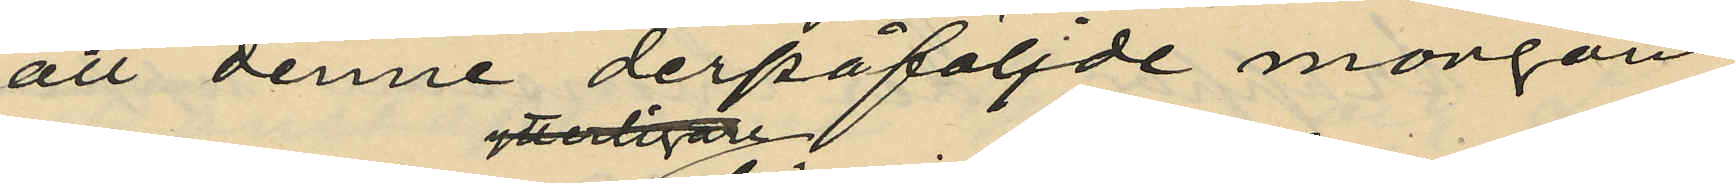att denne derpåföljde morgon
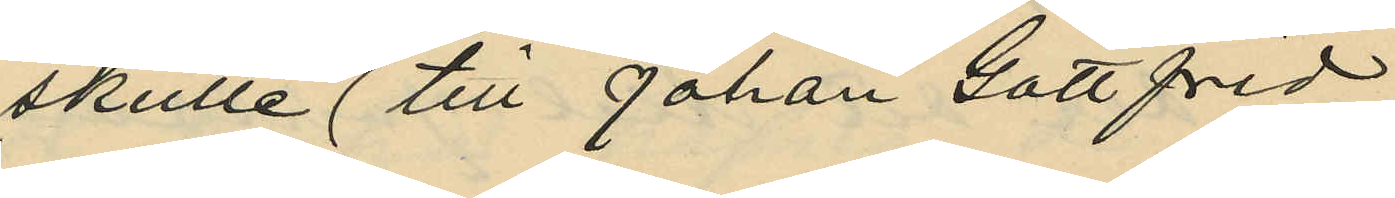skulle till Johan Gottfrid
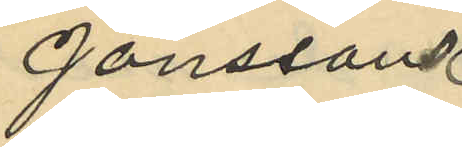Jönssons
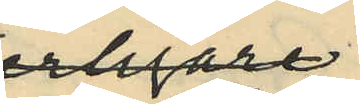bostad
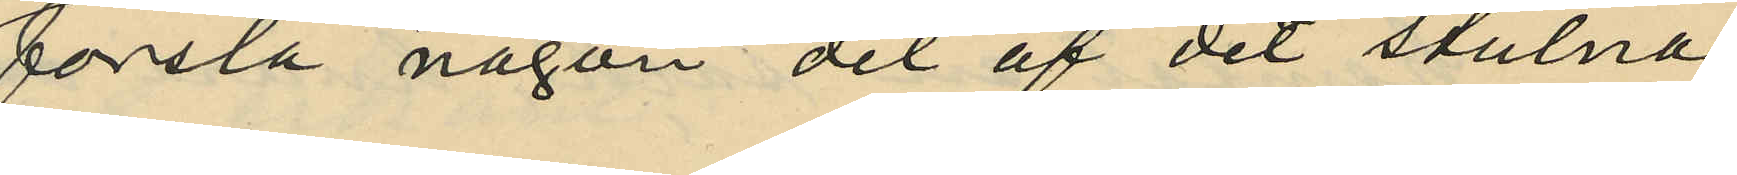forsla någon del af det stulna
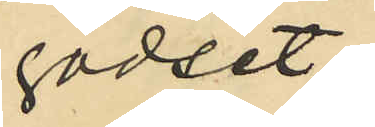godset;
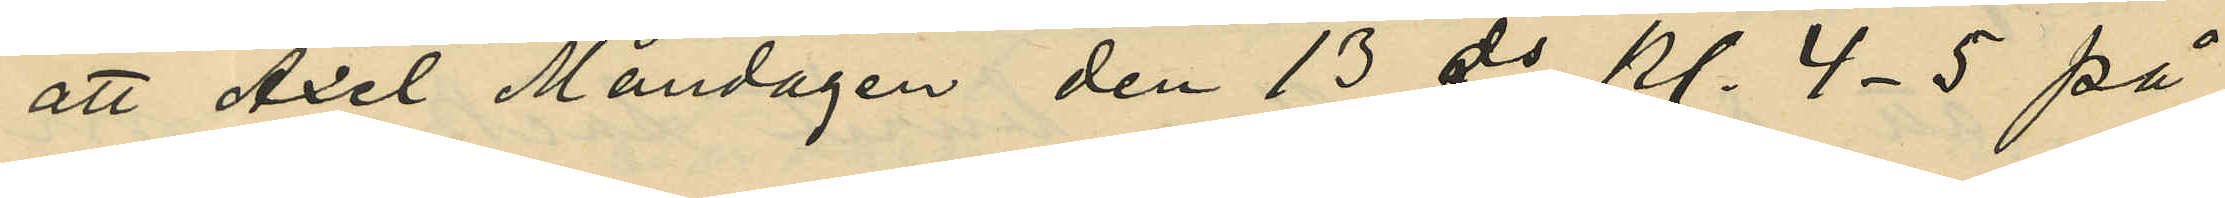att Axel Måndagen den 13 ds kl. 4-5 på
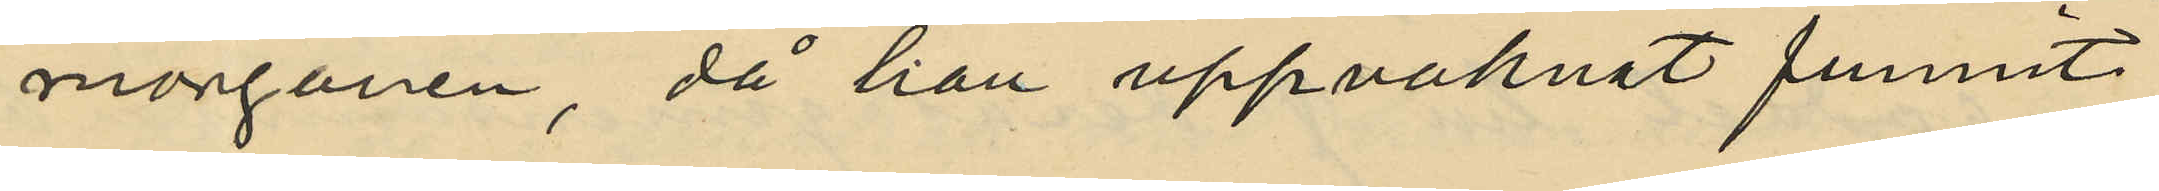morgonen, då han uppvaknat funnit
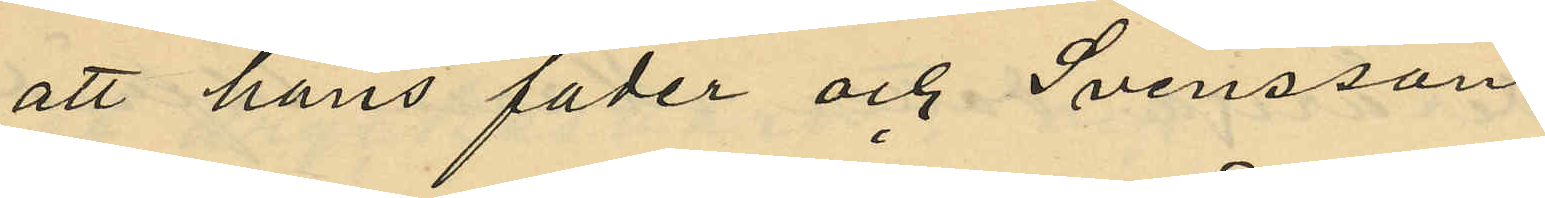att hans fader och Svensson
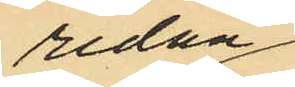redan
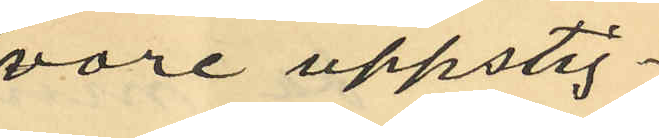vore uppstig¬
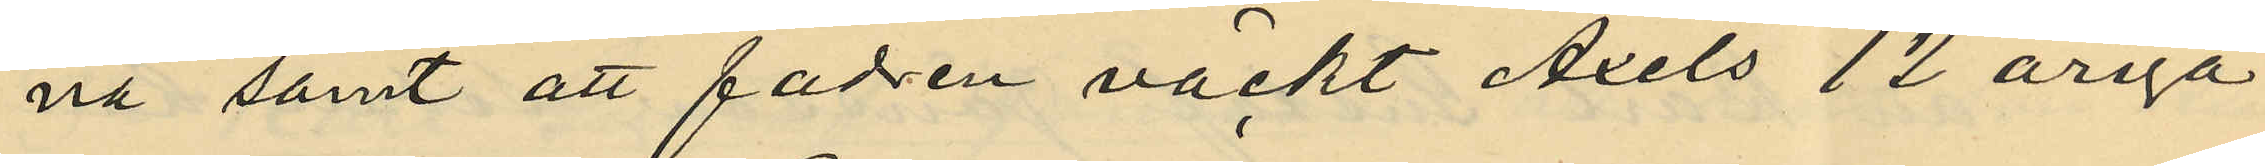na samt att fadren väckt Axels 12 åriga
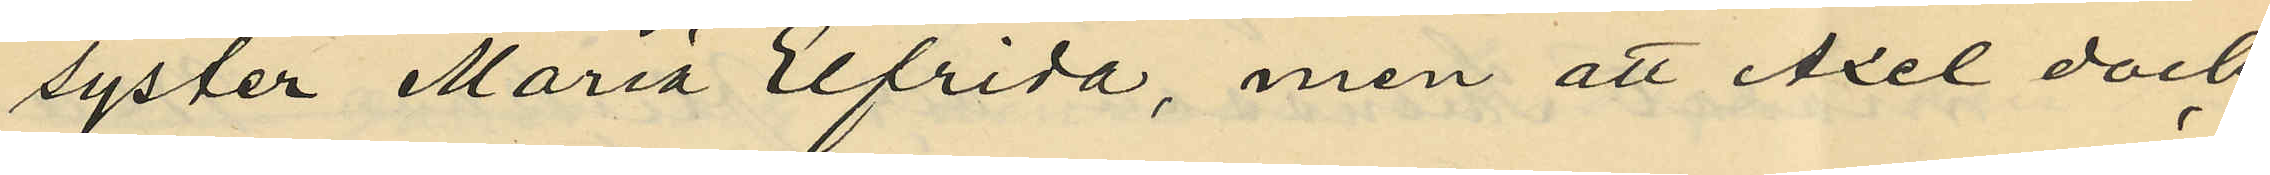syster Maria Elfrida, men att Axel dock
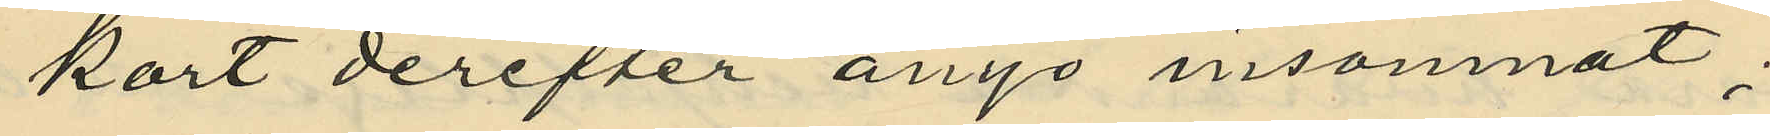kort derefter ånyo insomnat;
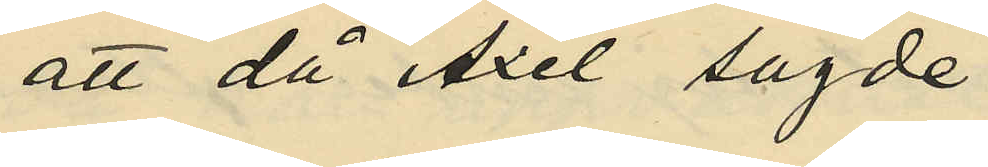att då Axel sagde
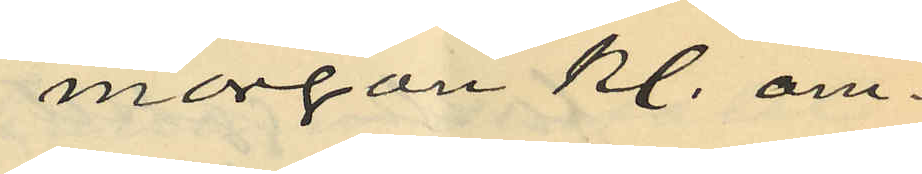morgon kl. om¬
